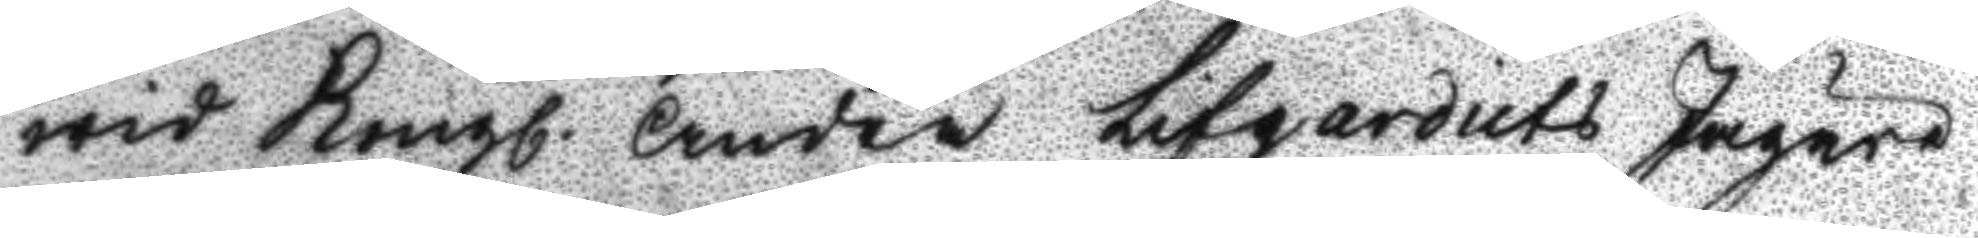wid Kongl. Andra Lifgardiets Jägare
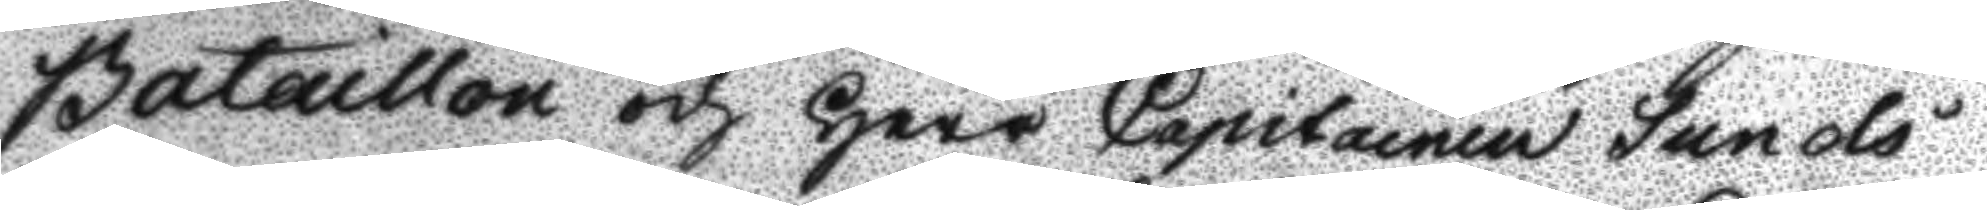Bataillon och Herr Capitainen Sunols
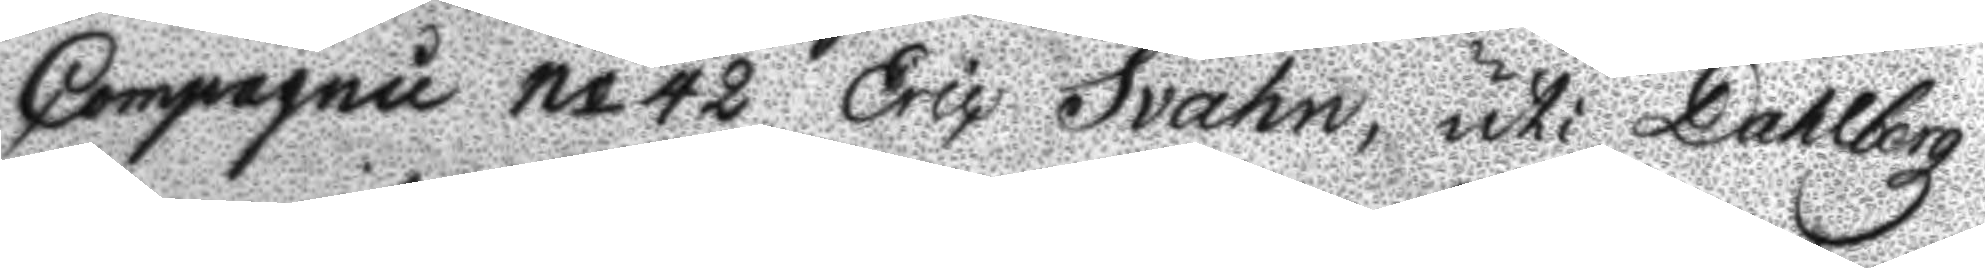Comagnie No 42 Eric Svahn, uti Dahlbergs
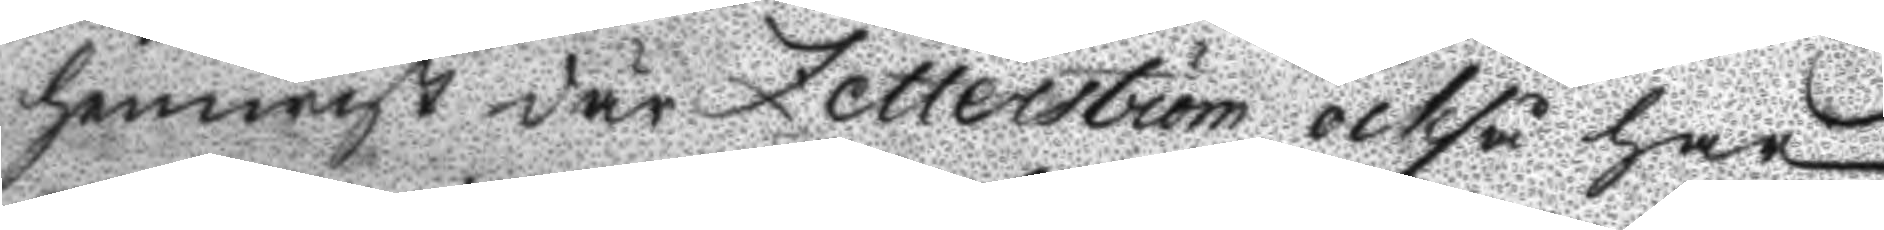hemwist där Zetterström också har
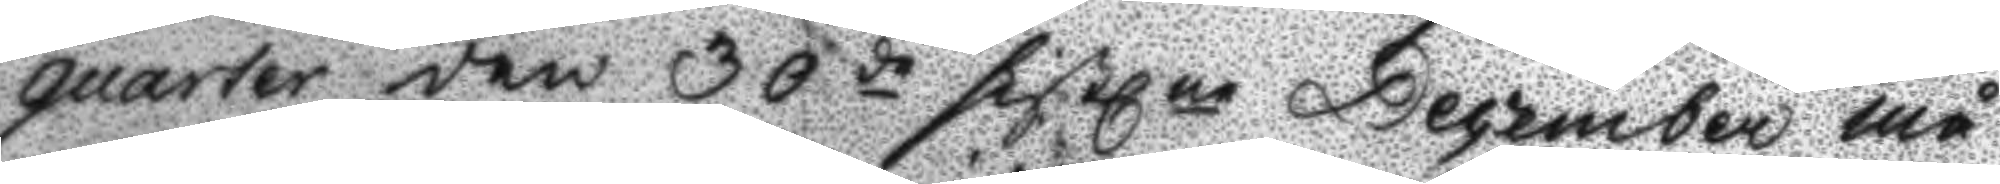quarter den 30de sistl.ne December må¬
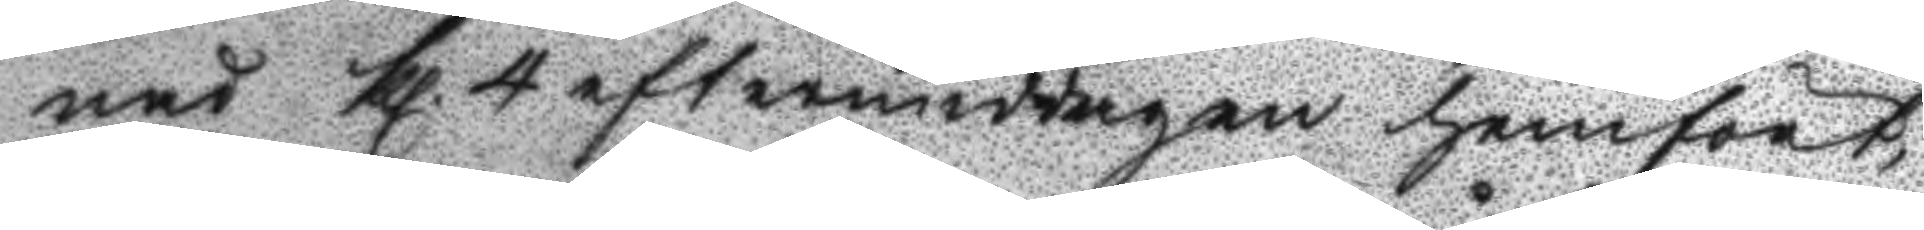nad Kl. 4 eftermiddagen hemfört
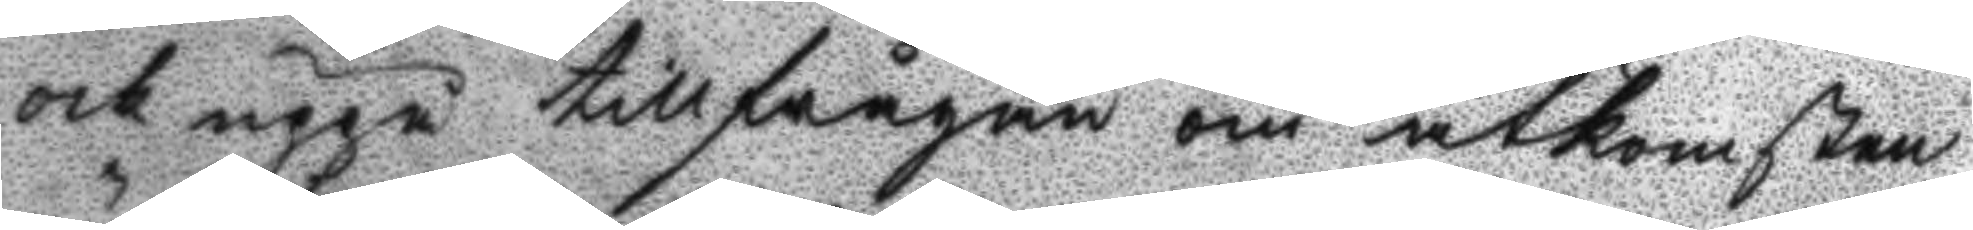ock uppå tillfrågan om åtkomsten,
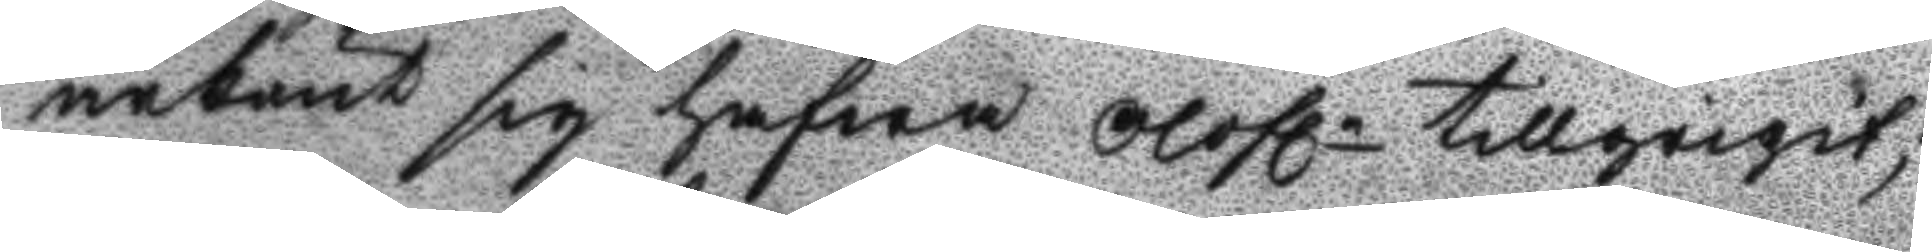ärkänt sig hafwa olofln tillgripit;
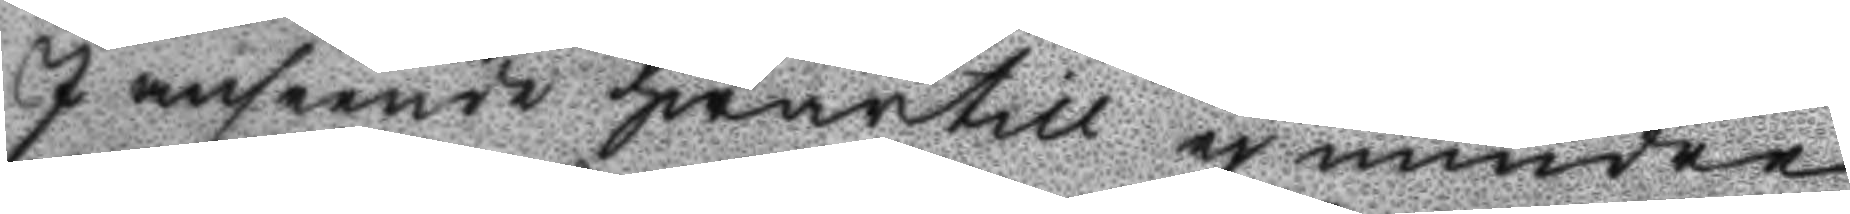I anseende hwartill ej mindre 
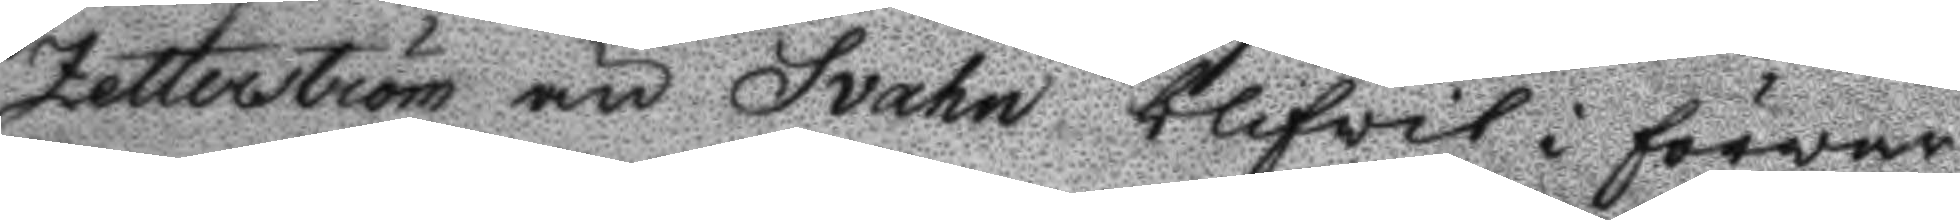Zetterström än Svahn blifvit i förvar
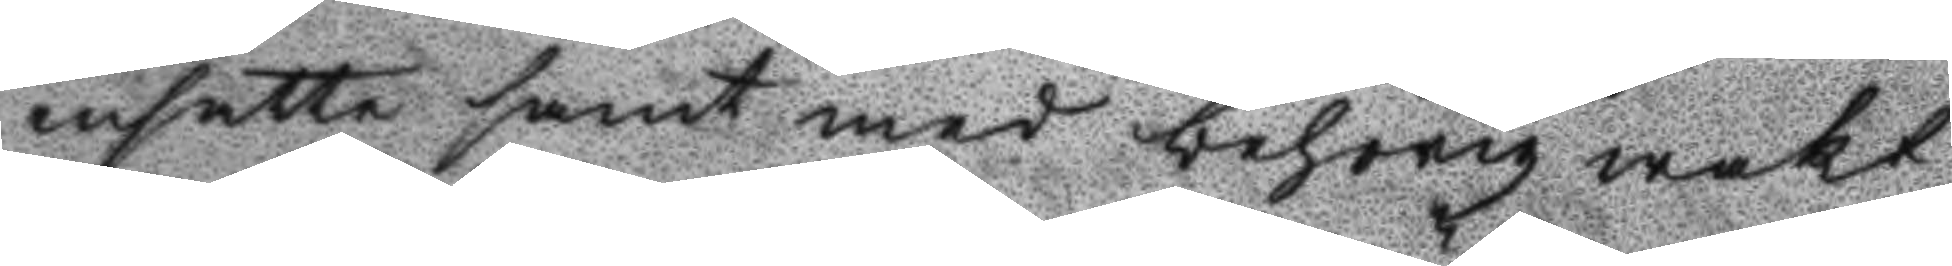insatte samt med behörig wakt
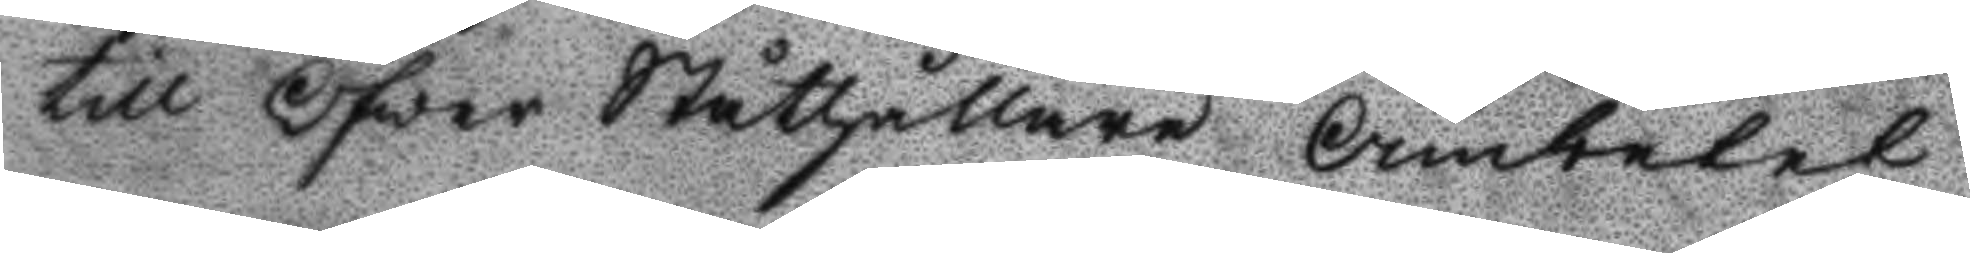till Öfwer Ståthållare Ämbetet
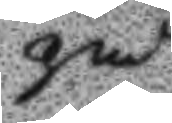på
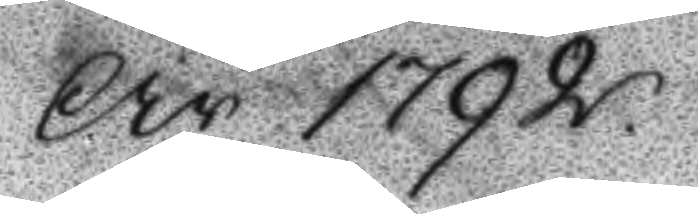År 1792
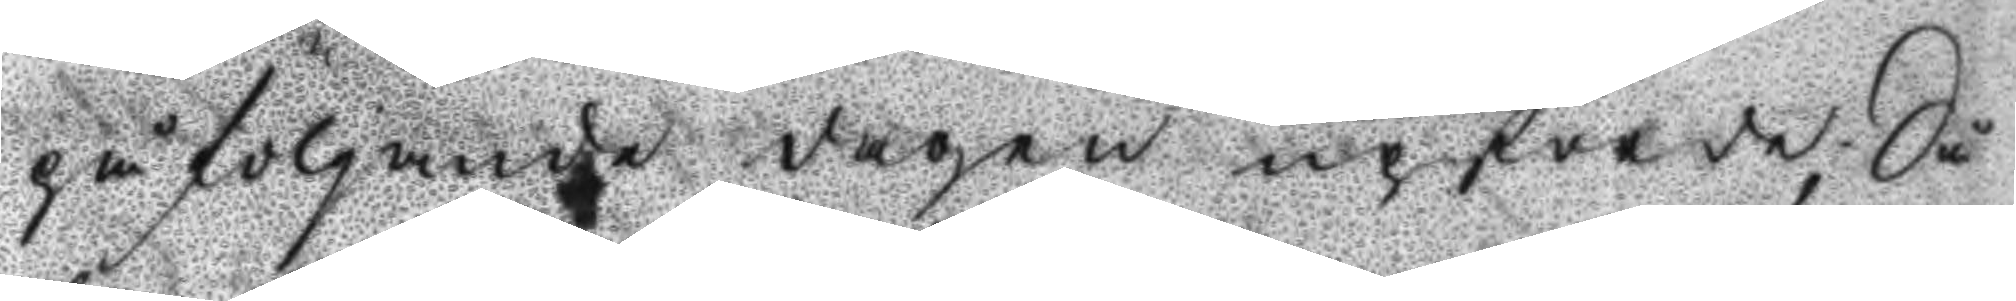på följande dagen upförde; Då
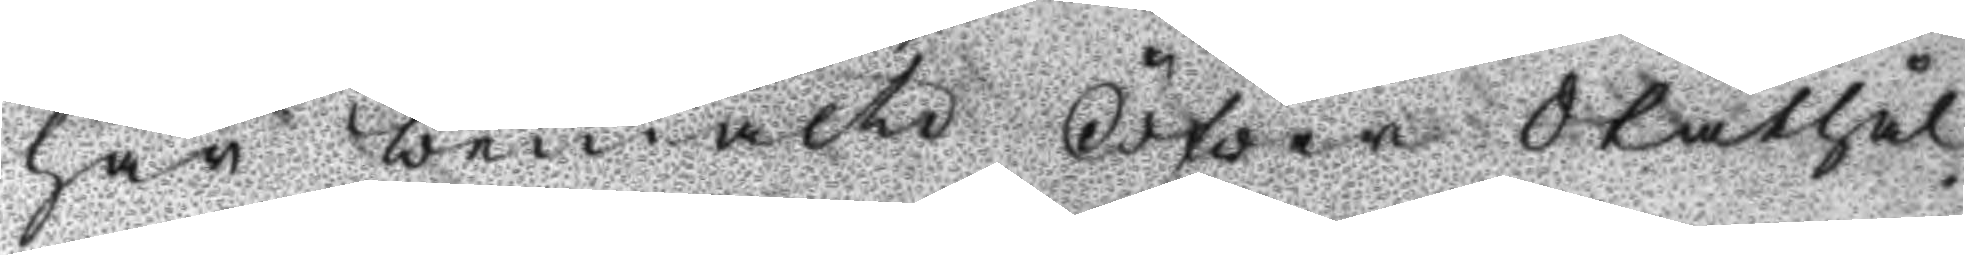har bemälte Öfwer Ståthål¬
